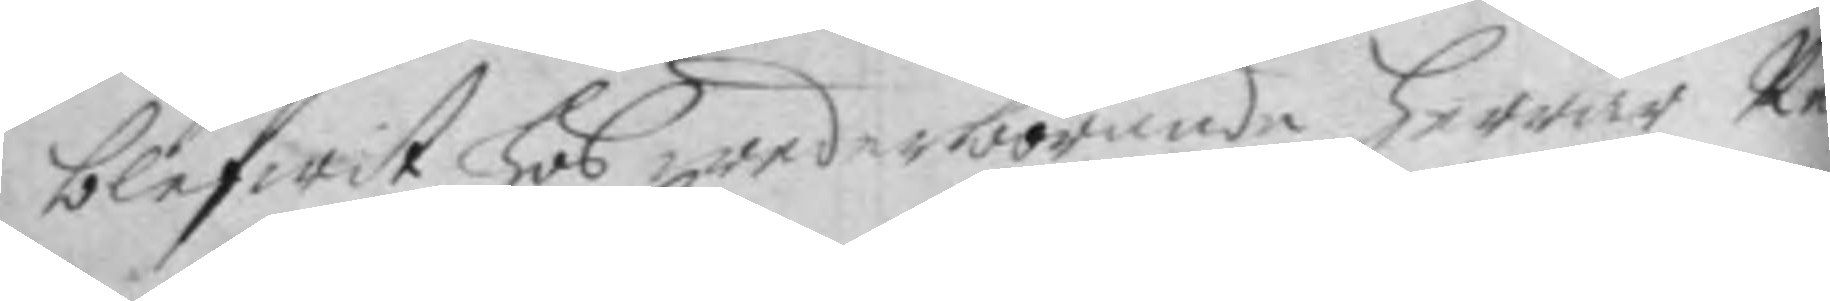blifwit Hos wederbörande Herrar Re¬
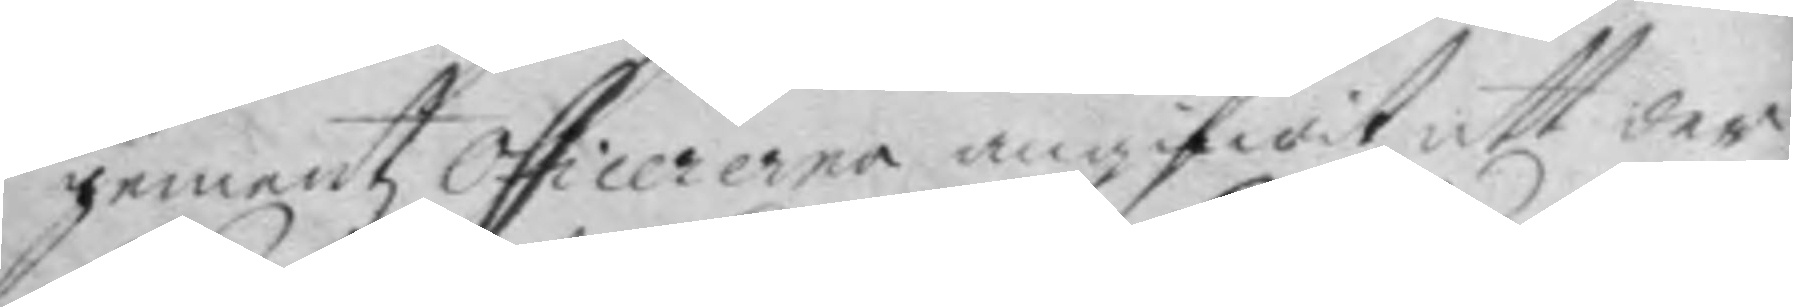gementz Officererna angifwit att der
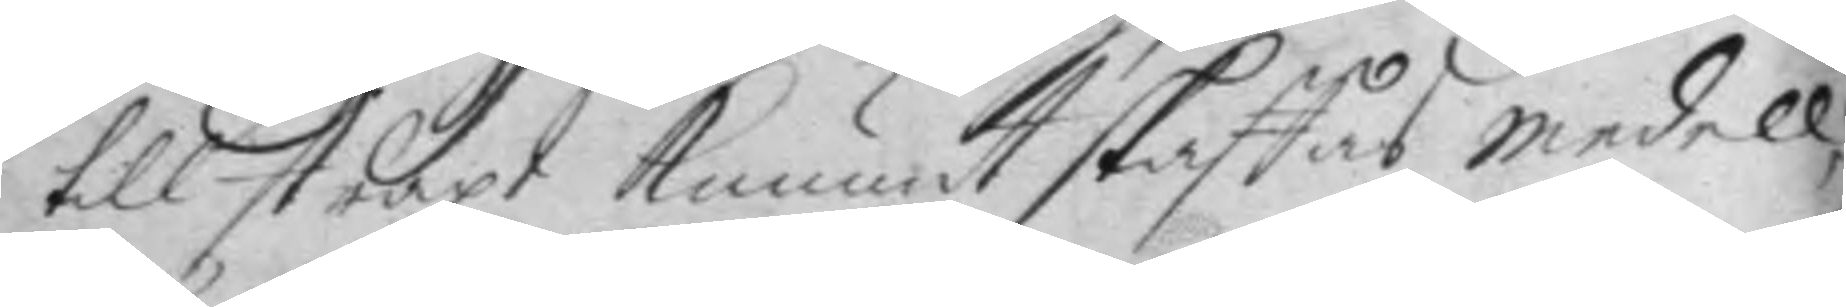till straxt kunnat skaffas medell,
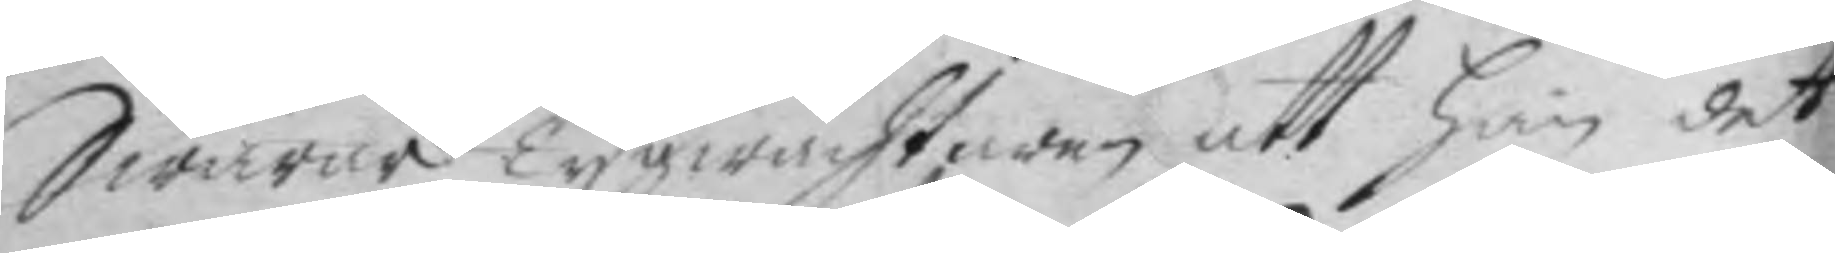Swarar Tygwachtaren att han det
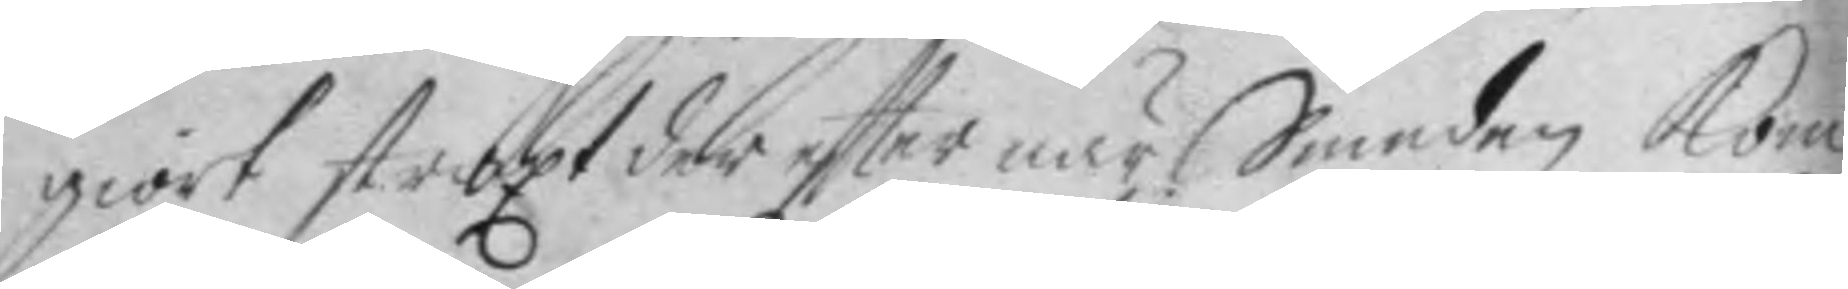giort straxt der efter när Smeden Kom
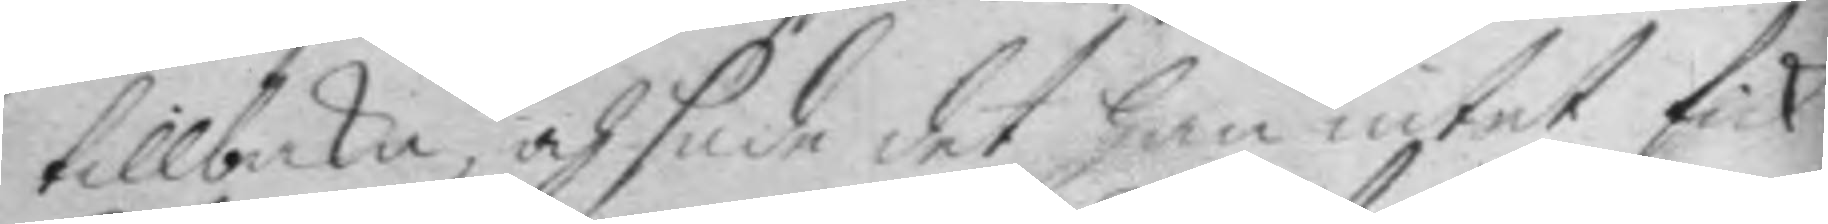tillbaka, och sade det han intet fick
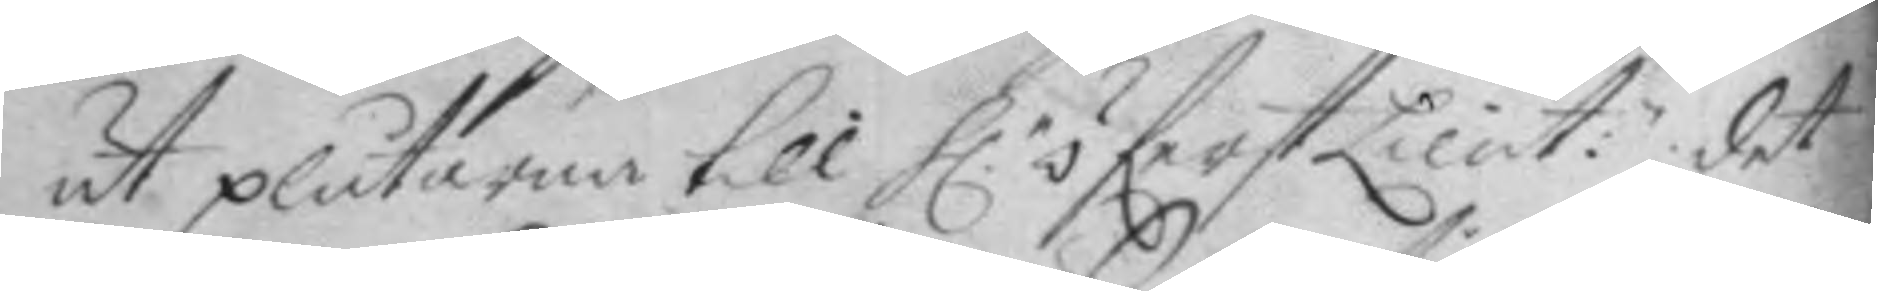ut plåtarna till H:r öferstLieut:n det 
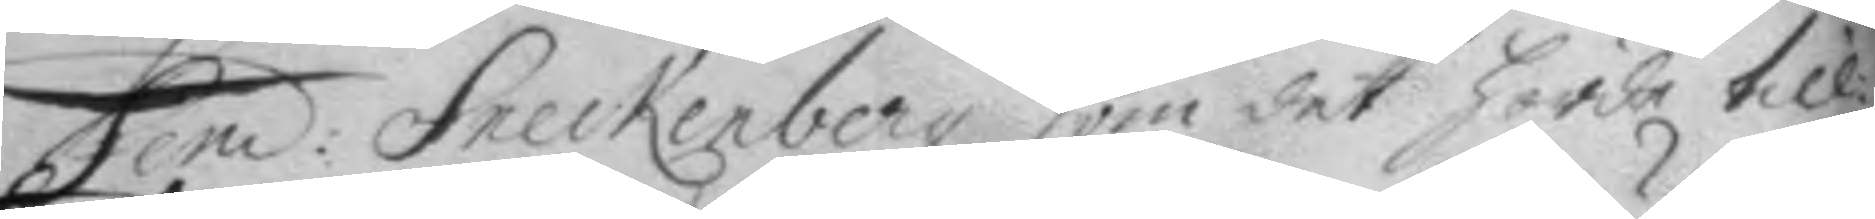fend: Sneckenberg som det harde til¬
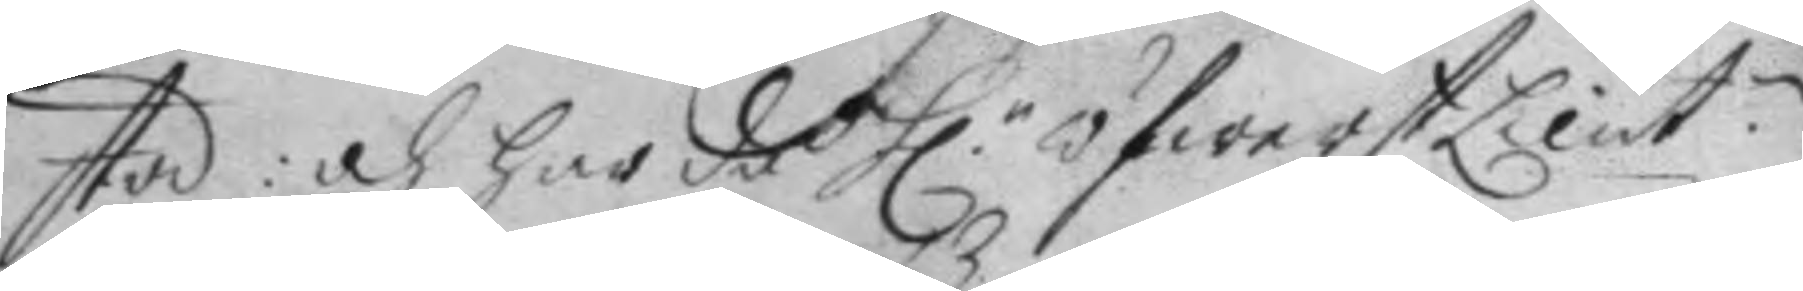stod: och har då H.r öfwerstLieut: 
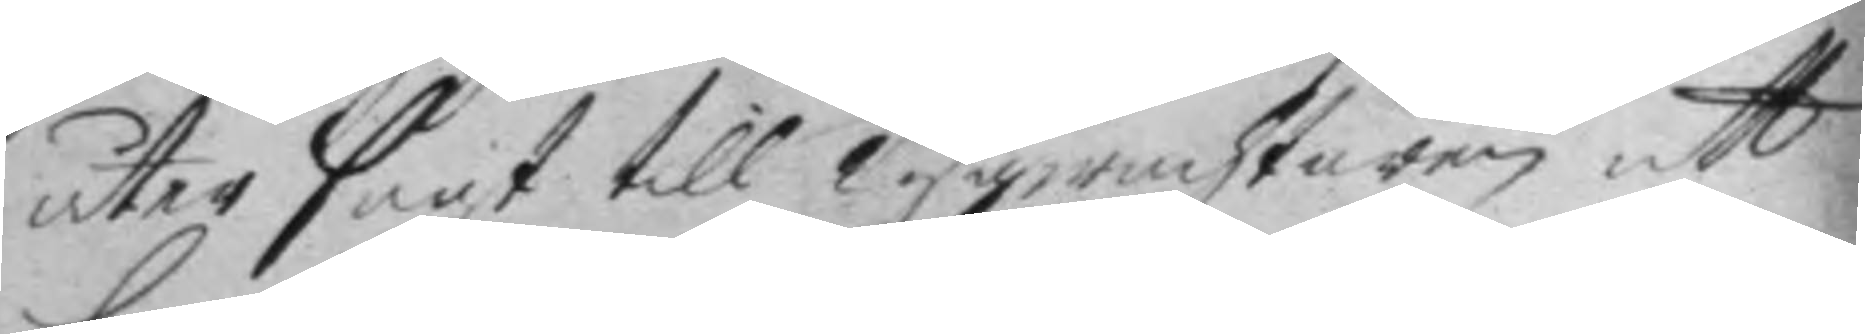åter sagt till tygwachtaren att
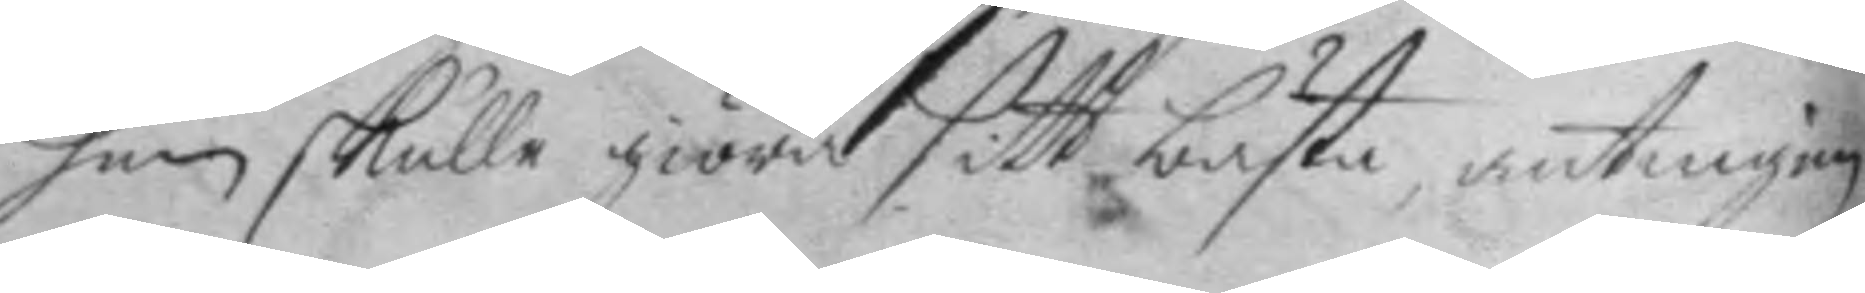han skulle giöra sitt bästa, antingen
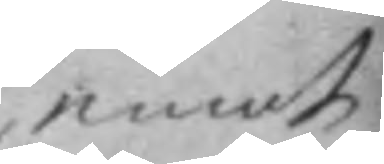emot
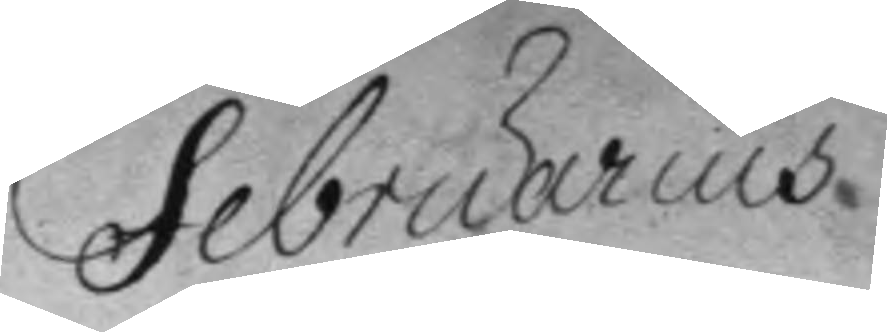Februarius
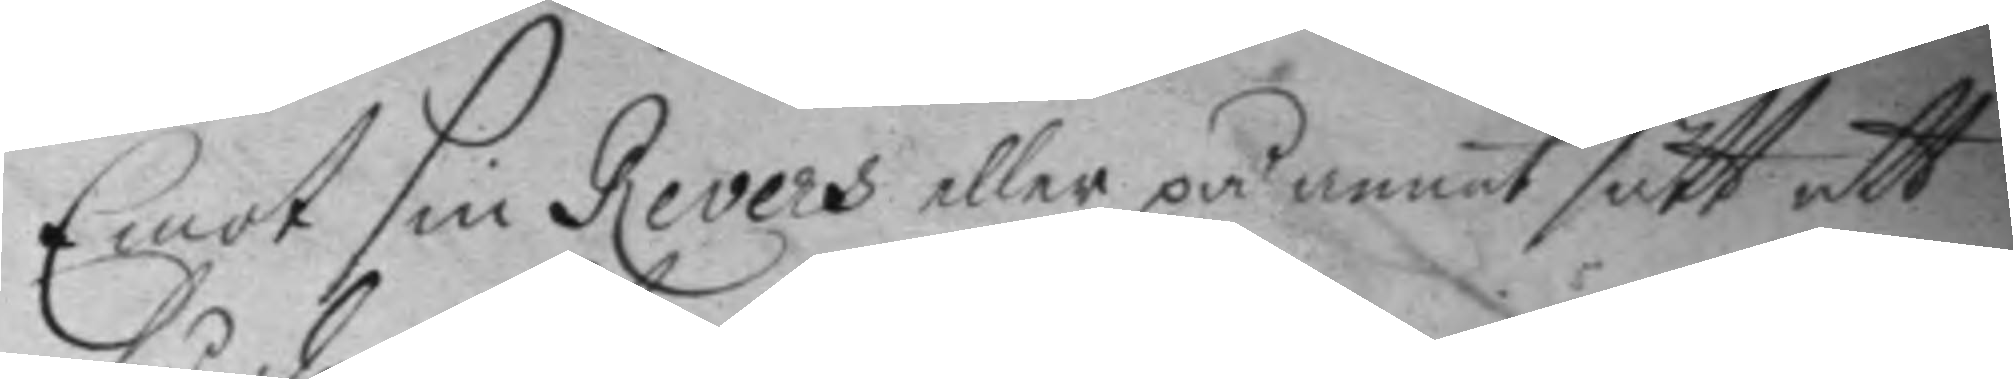Emot sin Revers eller på annat sätt att
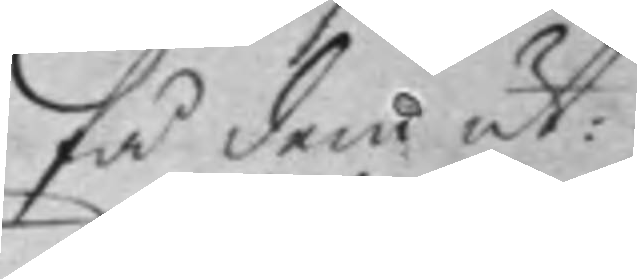få dem ut:
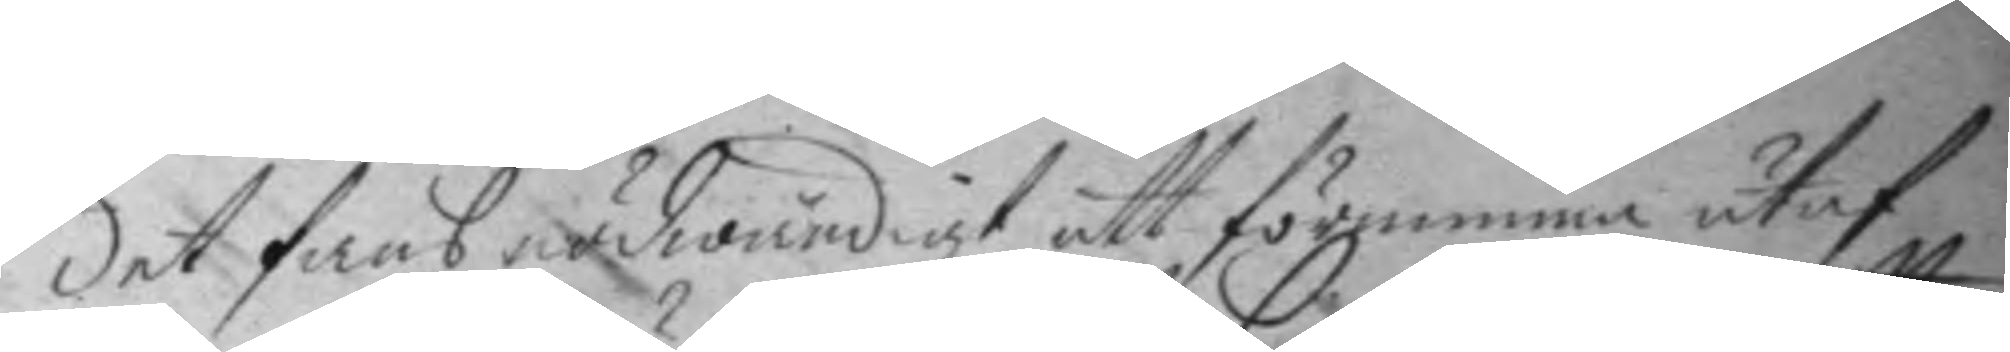det fans nädwändigt att förnimma utaf,
